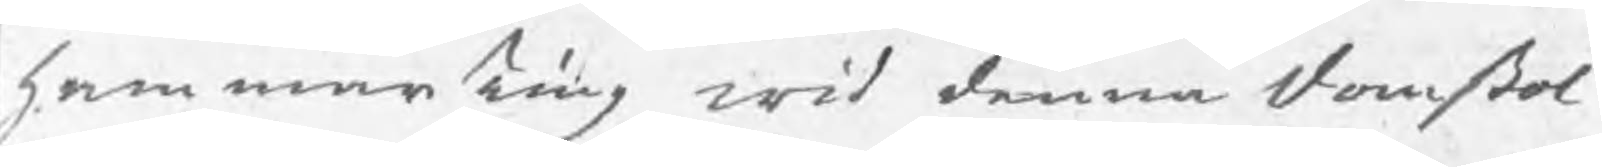hammarTing wid denna domstol
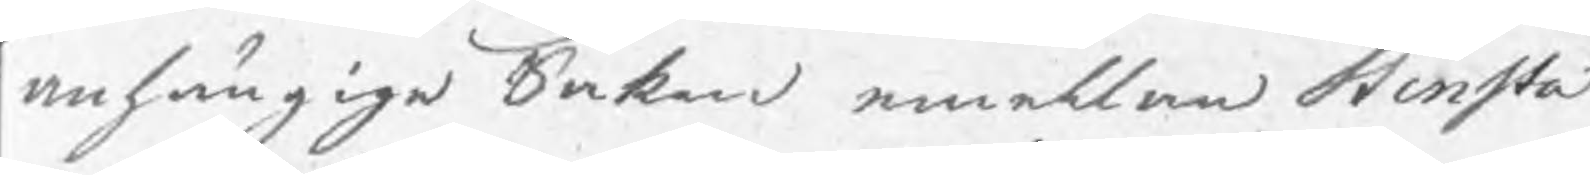anhängige Saken emellan Stensta
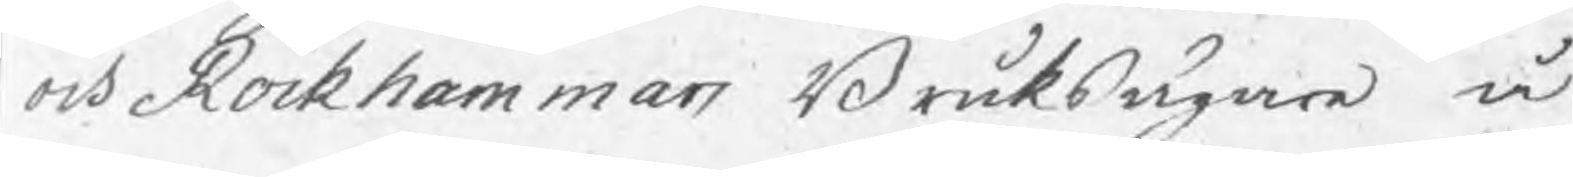och Rockhammars Bruksägare å
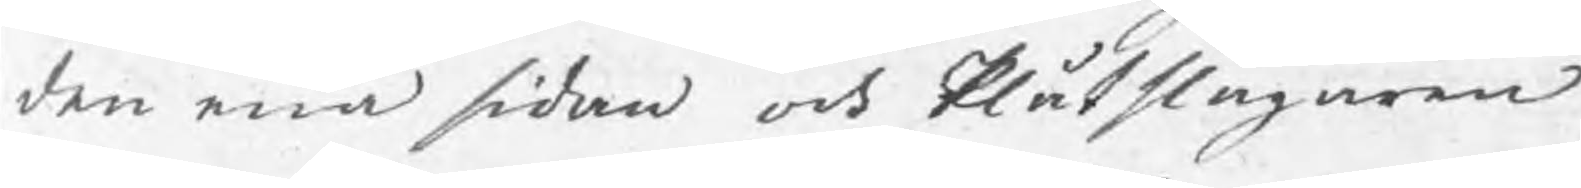den ena sidan och Plåtslagaren
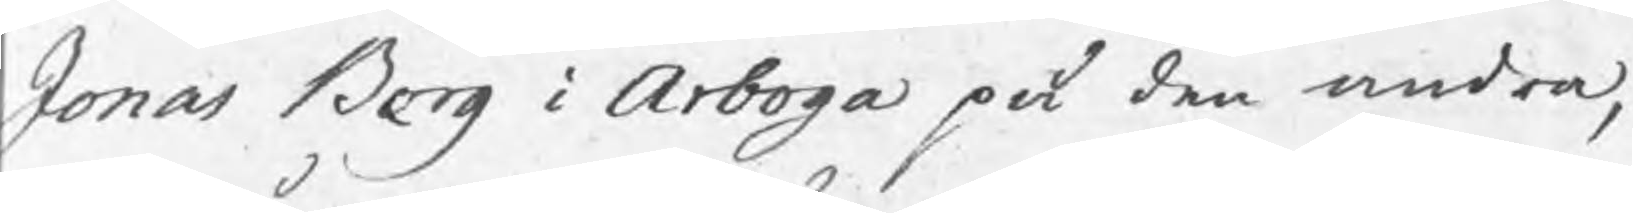Jonas Berg i Arboga på den andra,
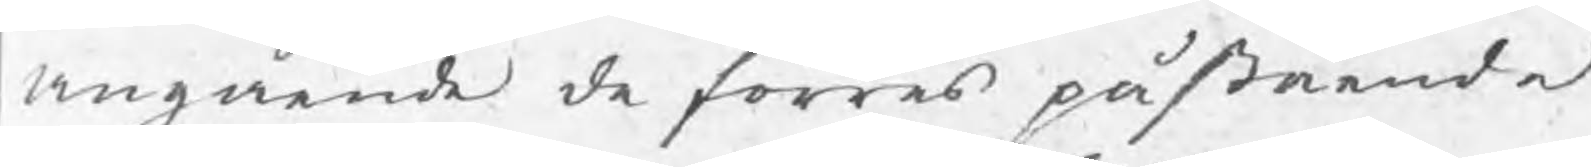angående de förres påstående
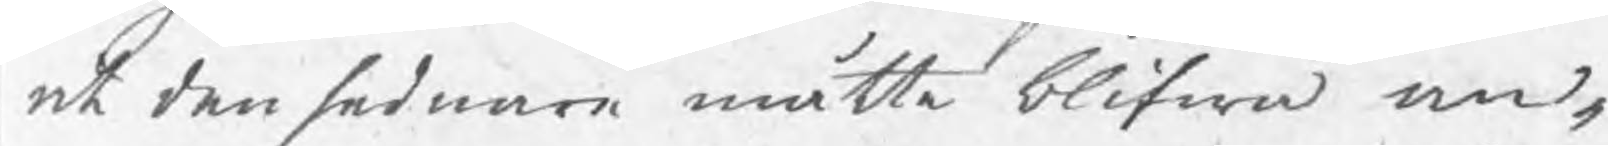ar den sednare måtte blifwa an¬
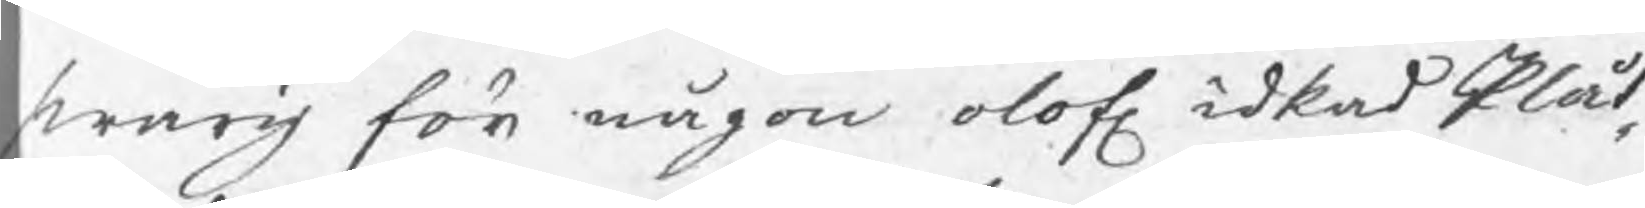swarig för någon olof. idkad Plåt¬
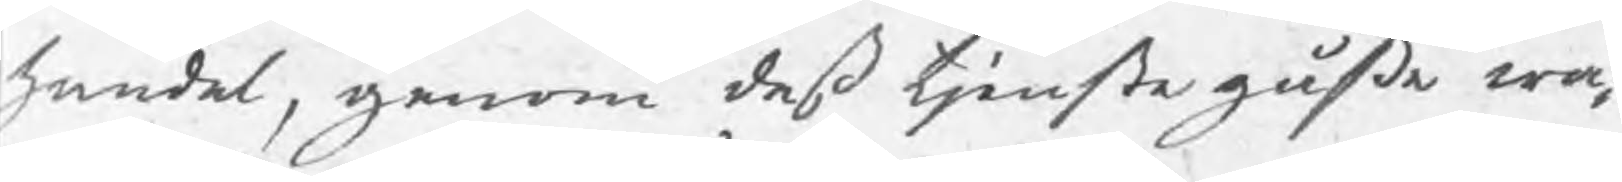handel, genom deß tjenstegåße wa¬
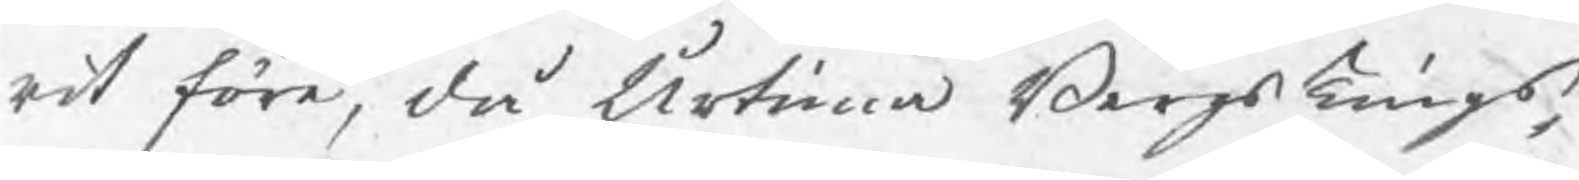rit före, då Urtima BergsTings¬
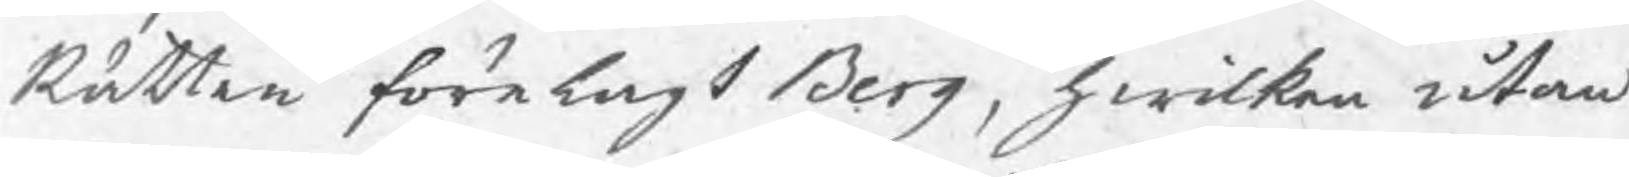Rätten förelagt Berg, hwilken utan
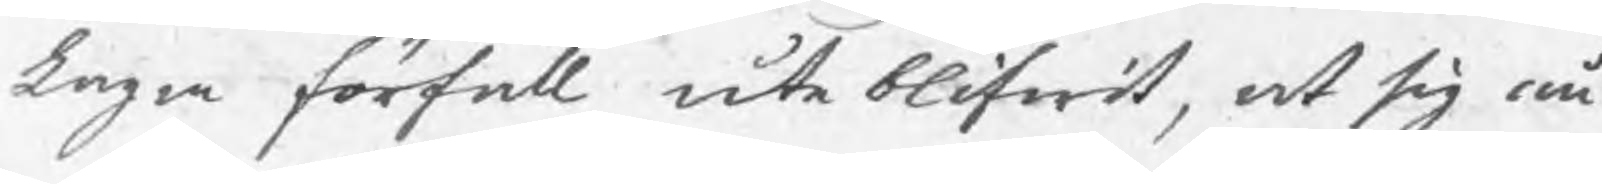Laga förfall ute blifwit, at sig nu
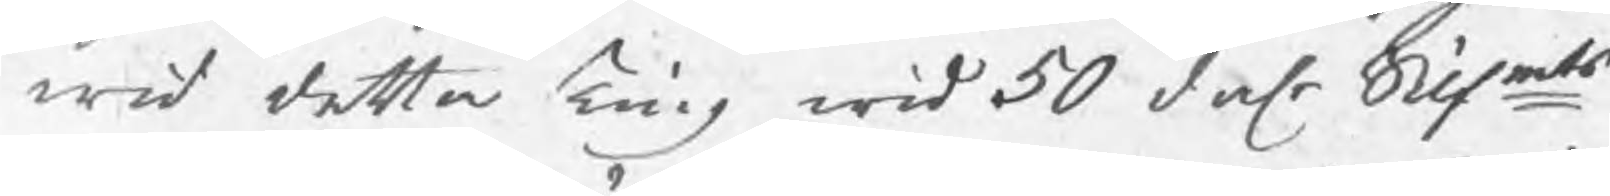wid detta Ting wid 50 dalr Silfmts
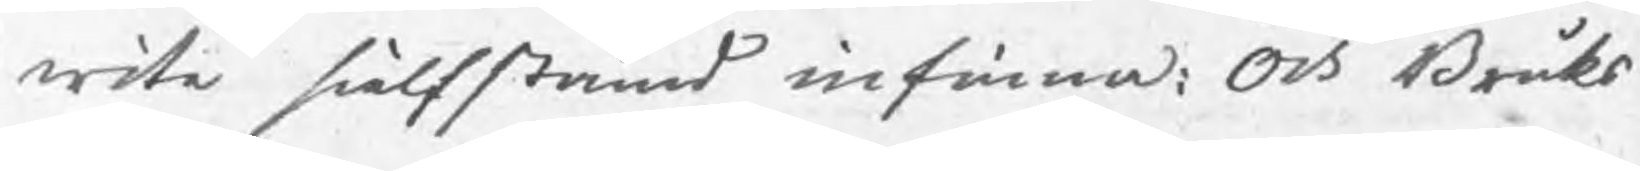wite sielfstämd infinna; Och Bruks
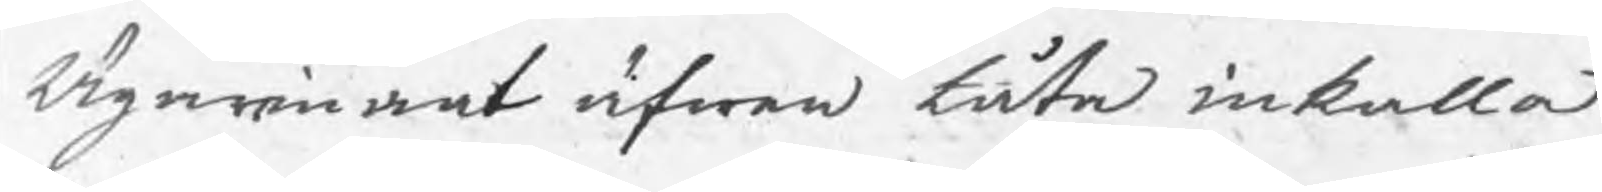Ägarinant äfwen låta inkalla
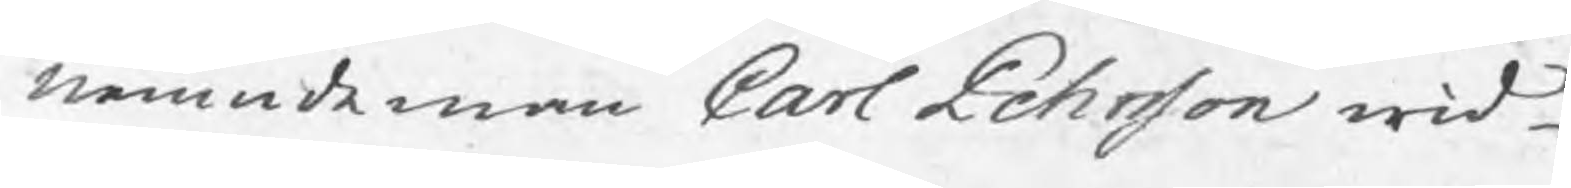nemndeman Carl Pehrsson wid
